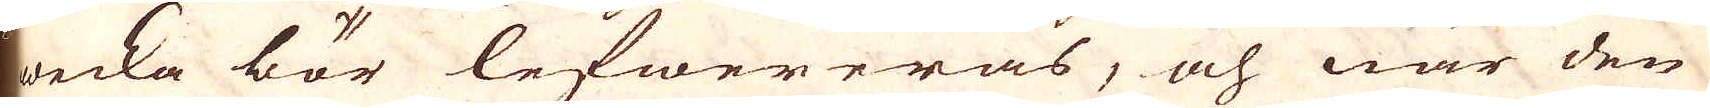wecka bör lefwereras, och när den
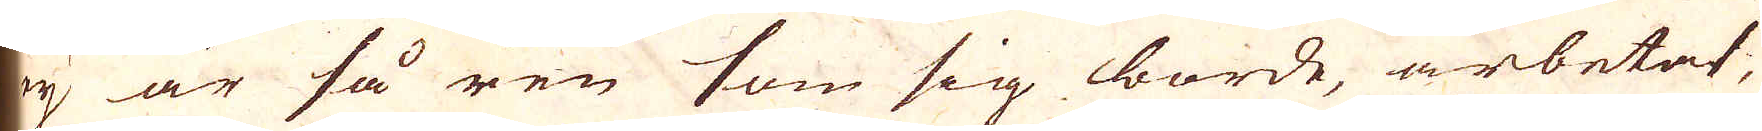ey är så ren som sig borde, arbetat,
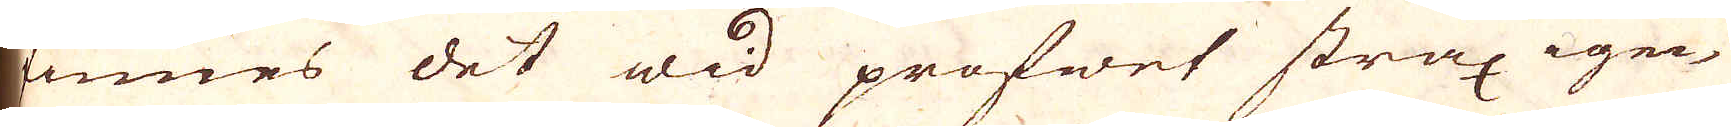finnes det wid profwet strax igen,
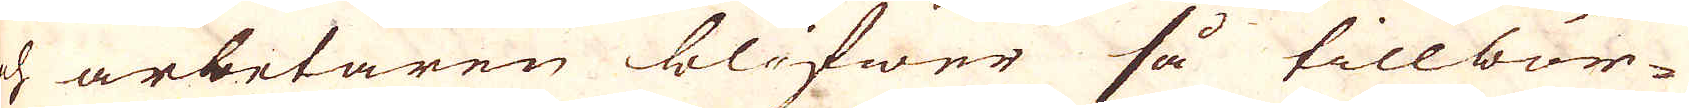och arbetaren blifwer så tillbör-
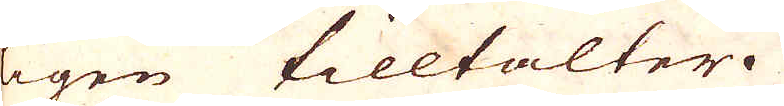ligen tilltalter.
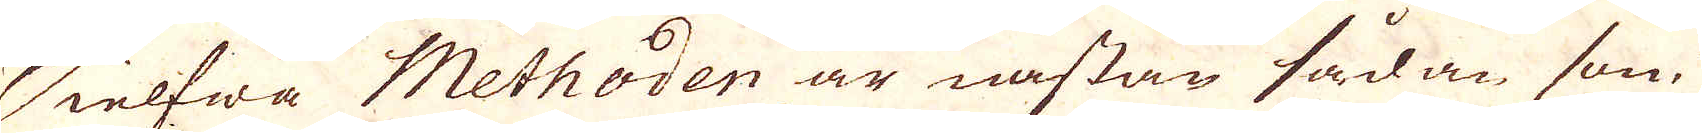Sielfwa Methoden är nåstan sådan som
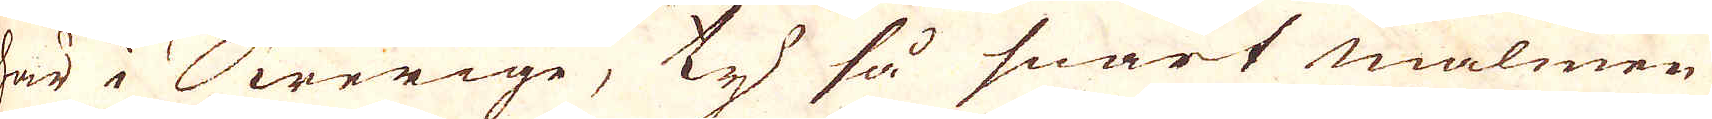är i Swerige, ty så snart malmen
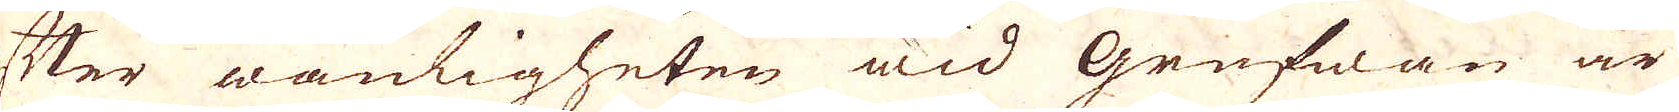efter wanligheten wid Grufwan är
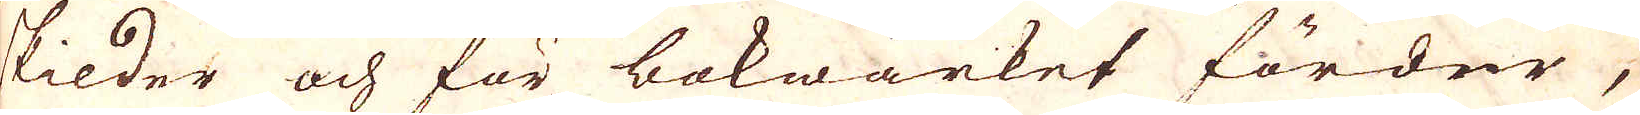skilder och för bokwärket förder,
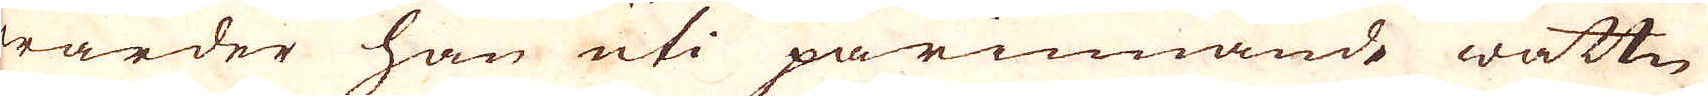warder han uti pårinnande wattn
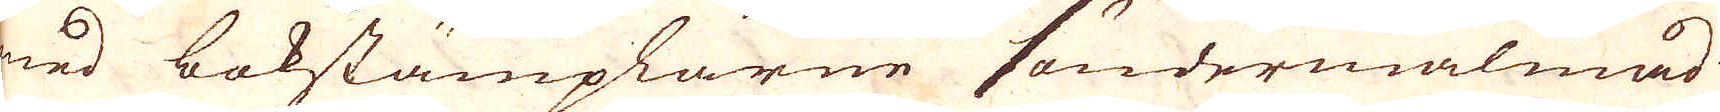med bokstämplarne söndermalmad
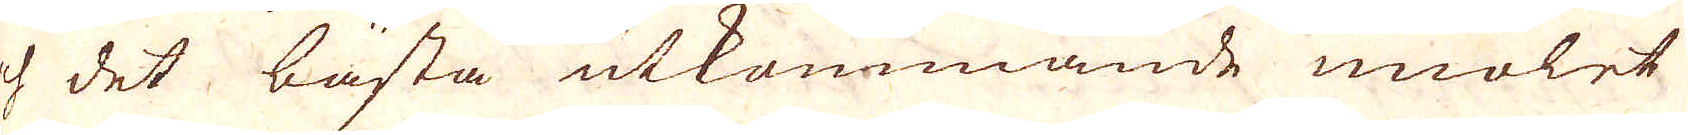och det bästa utkommande miölet
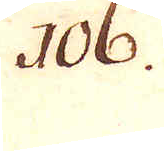106.
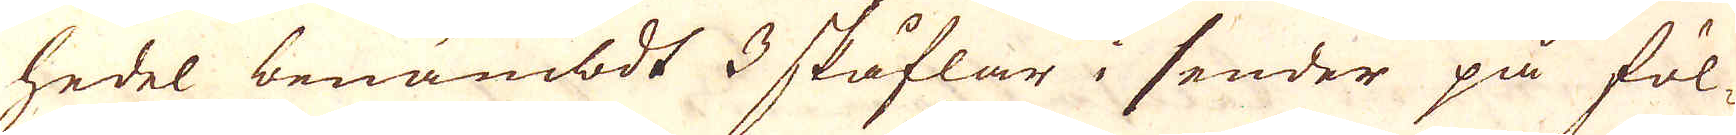hedel benämbdt 3 skåflar i sender på föl-
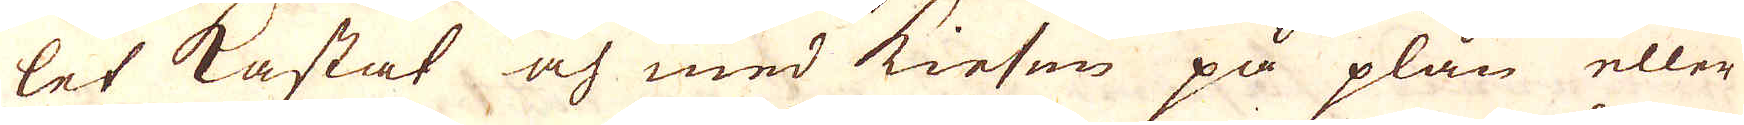let kastat och med kiesen på plån eller
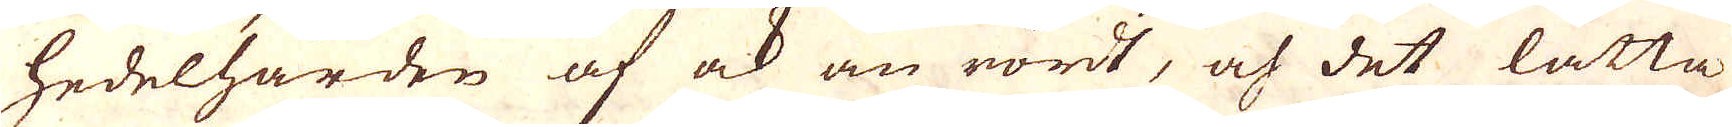hedelhärden af ock än rördt, och det lätta
